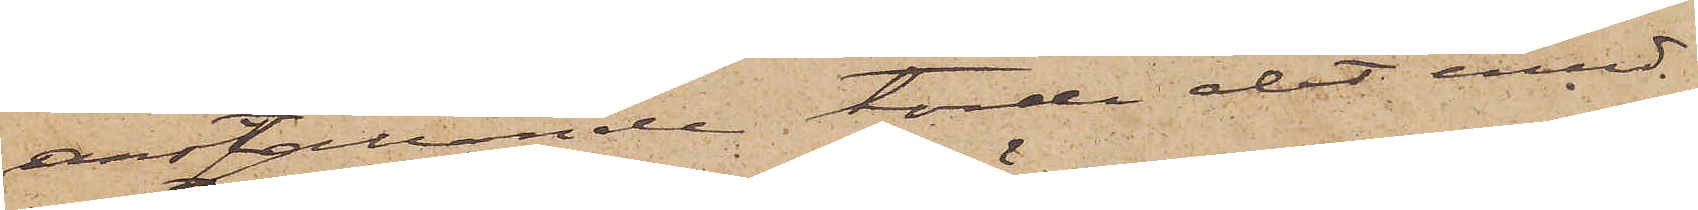anställande torde det emed¬
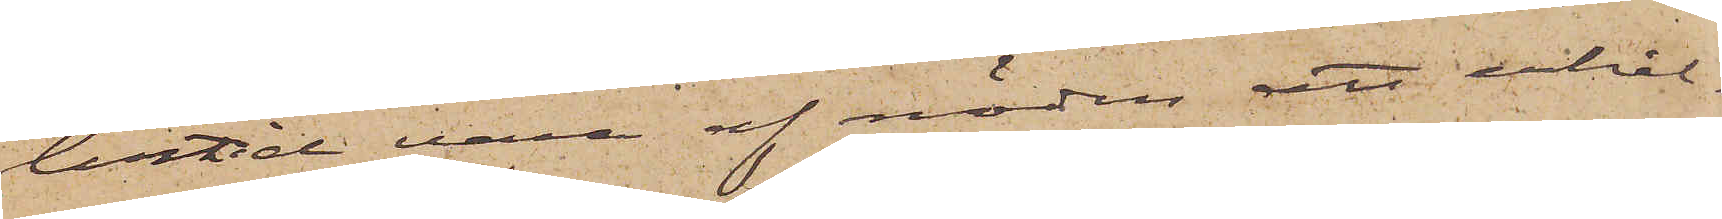lertid vara af nöden att erhål¬
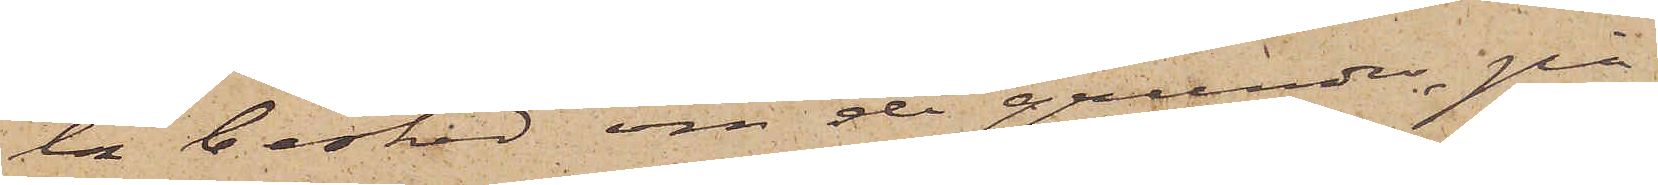la besked om de grunder, på
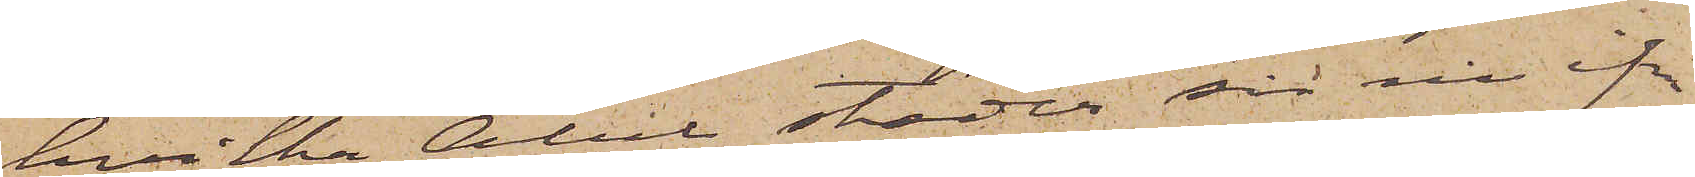hvilka Abel stöder sin nu ifrå¬
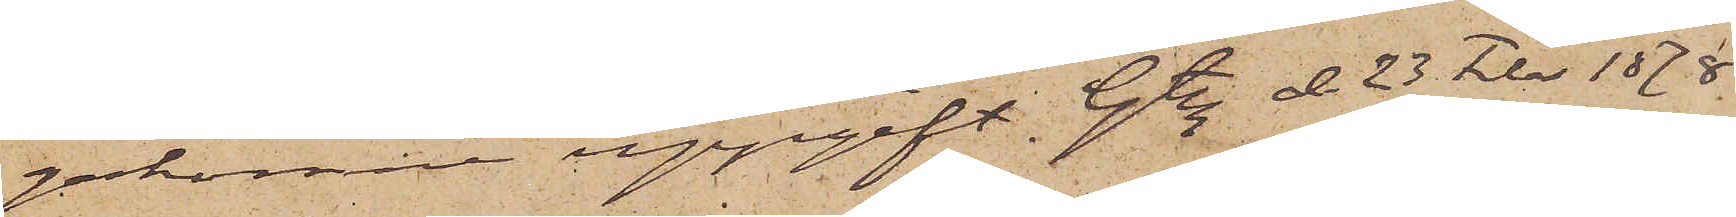gakomne uppgift. Gtbg d. 23 Febr. 1878.
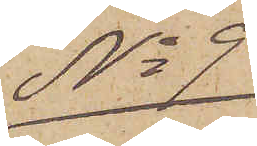No 9
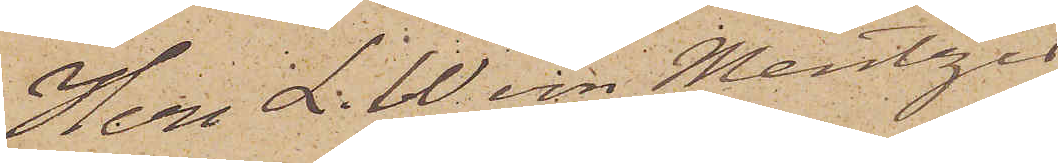Herr L. W. von Mentzer
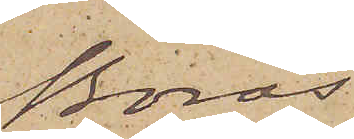Borås
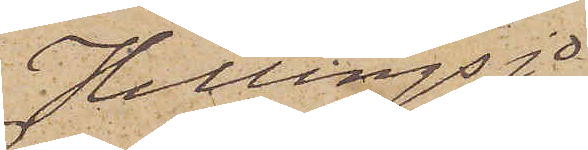Hillingsjö
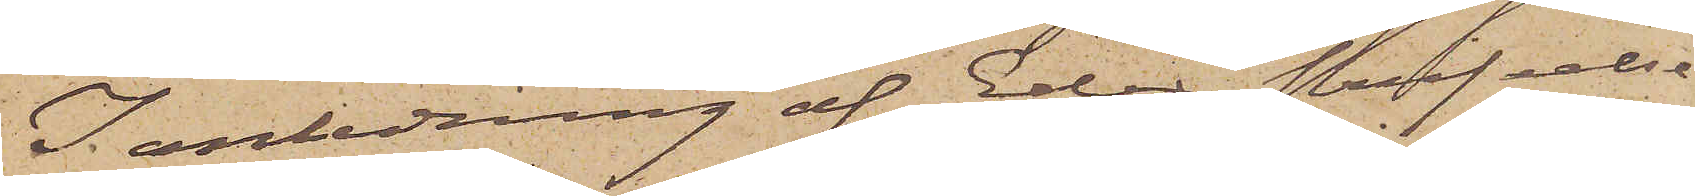I anledning af Eder skrifvelse
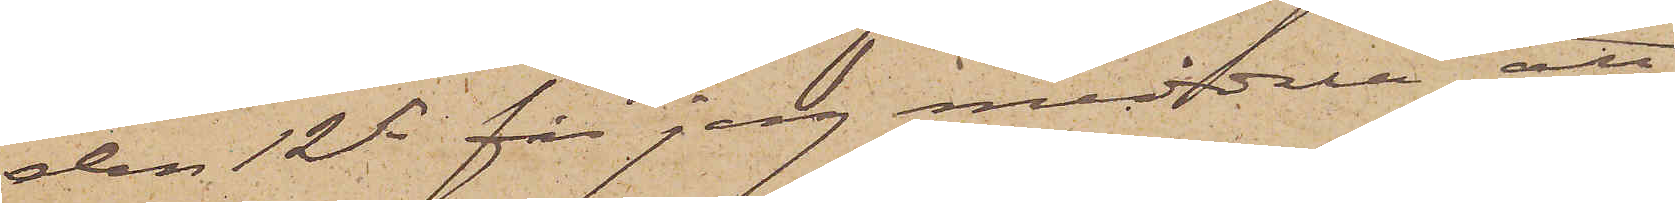den 12 ds får jag meddela att
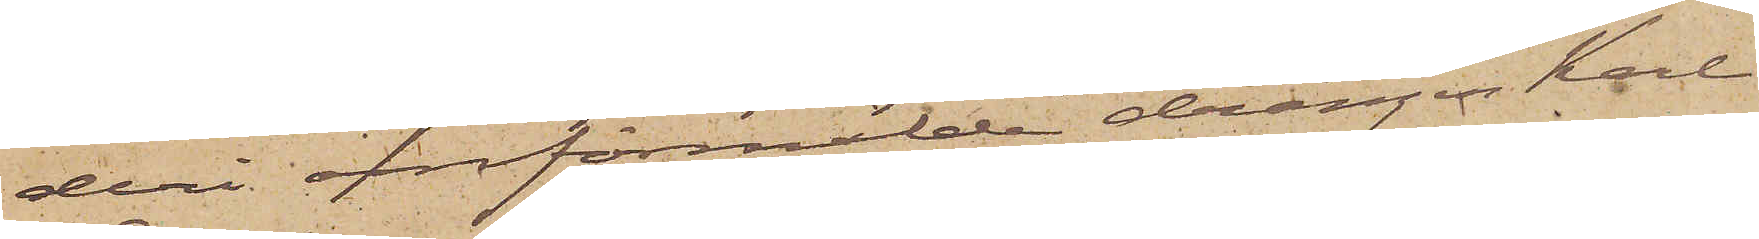deri omförmälde drängen Karl
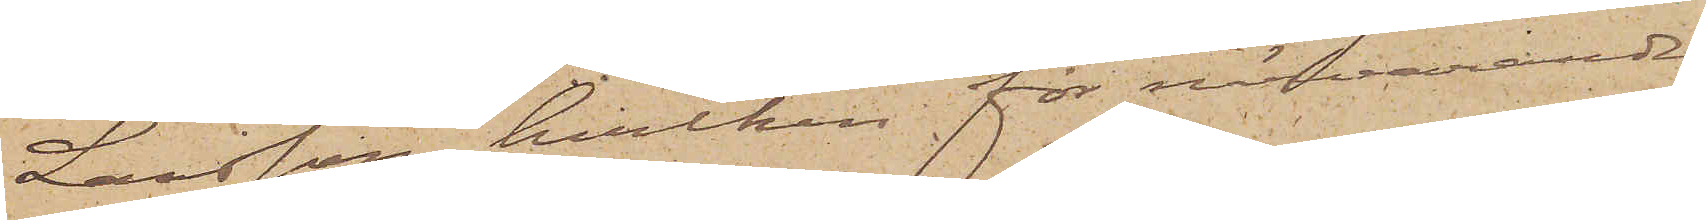Larsson, hvilken för närvarande
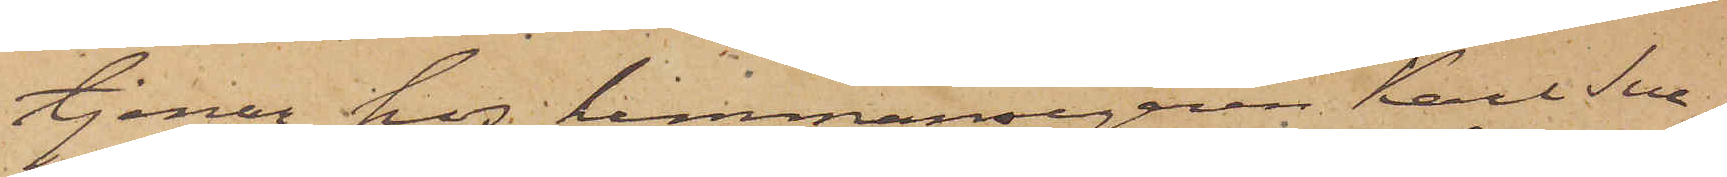tjenar hos hemmansegaren Karl Sve¬
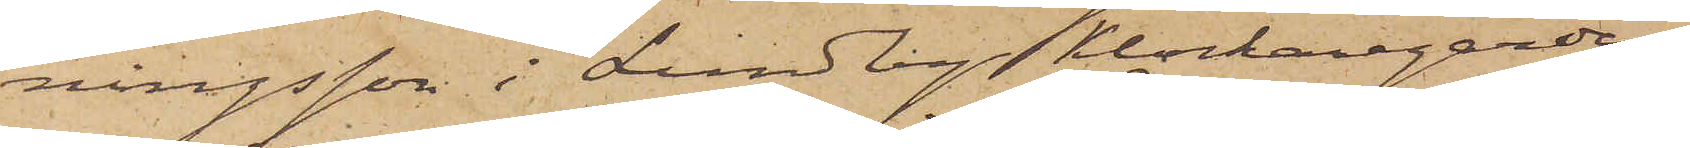ningsson i Lundby Klockaregården
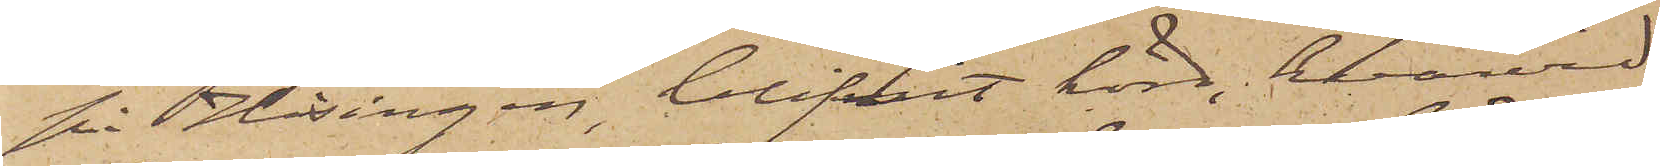på Hisingen, blifvit hörd, hvarvid
